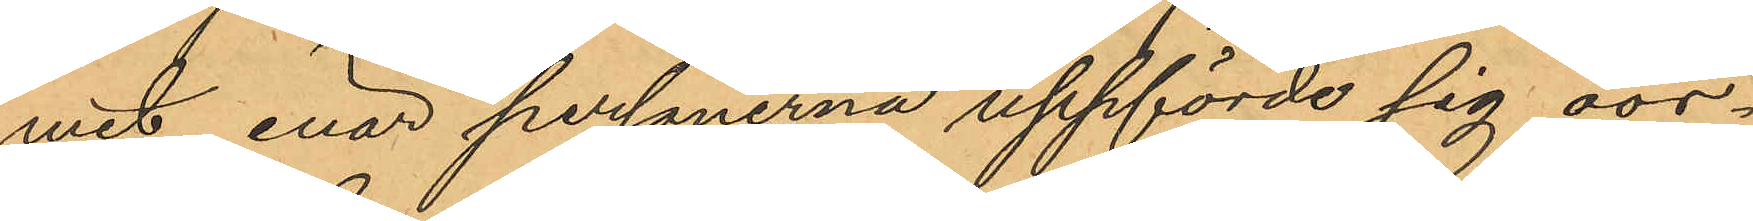mit, enär personerna uppförde sig oor¬
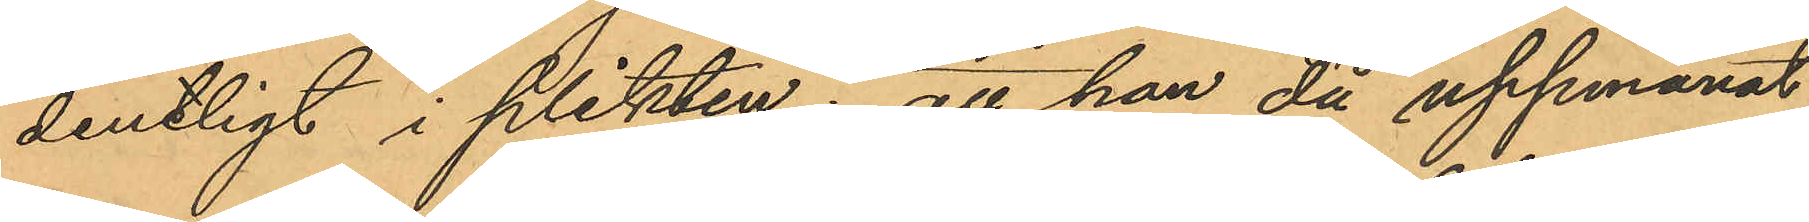dentligt i plikten; att han då uppmanat
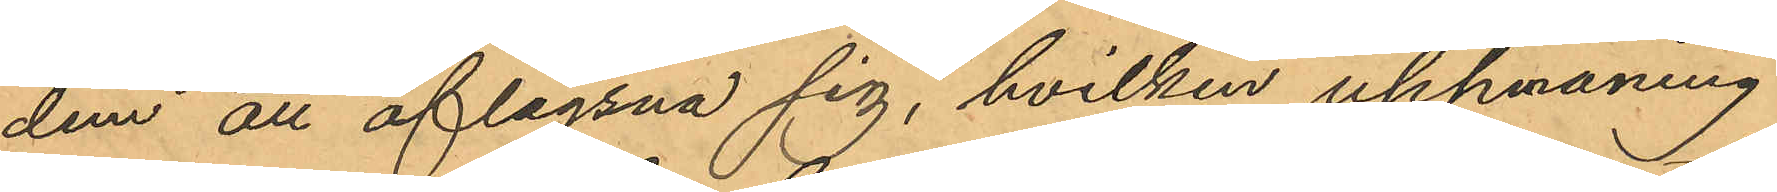dem att aflägsna sig, hvilken uppmaning
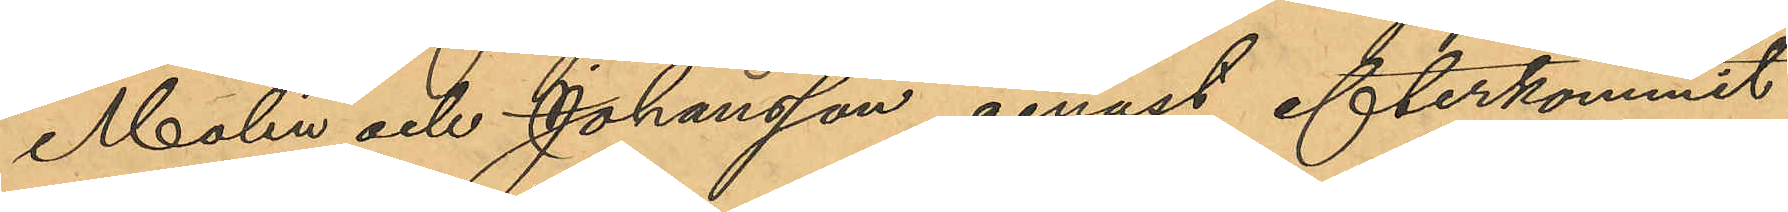Molin och Johansson genast efterkommit,
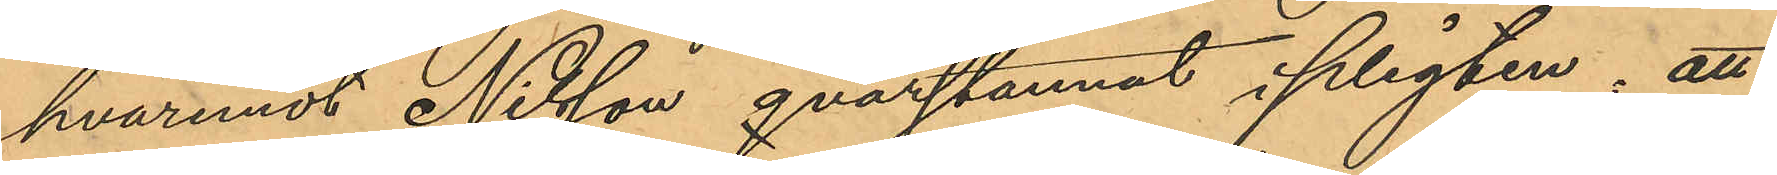hvaremot Nilsson qvarstannat i plikten; att
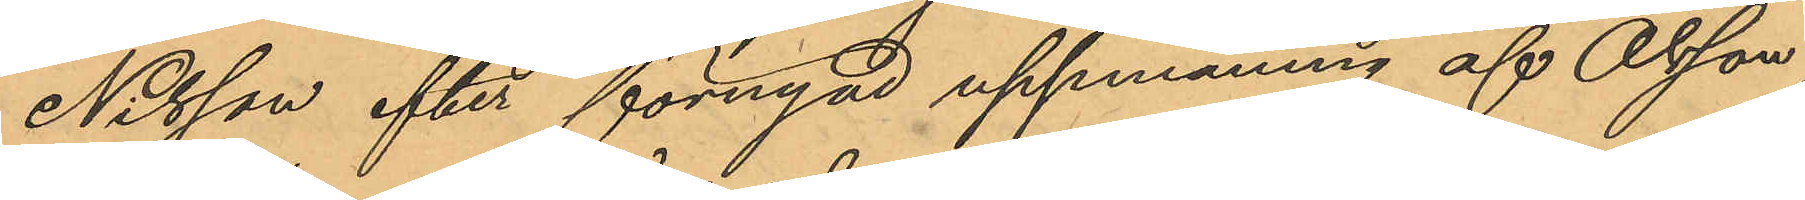Nilsson efter förnyad uppmaning af Olsson
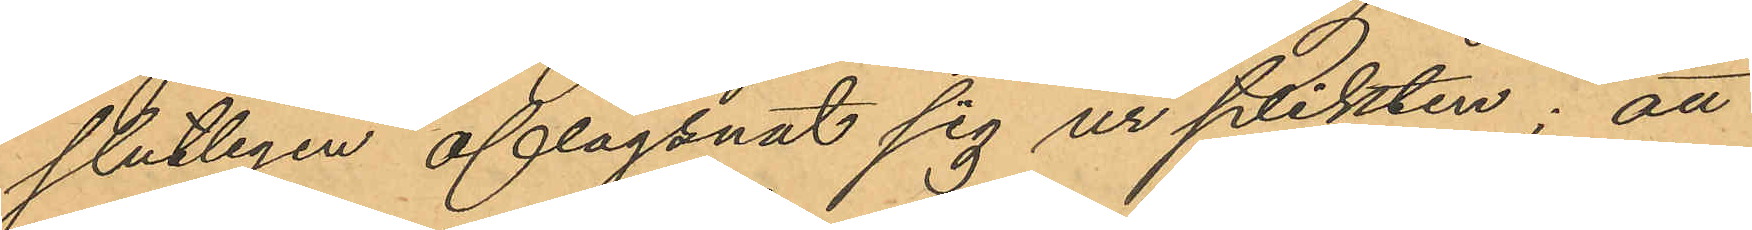slutligen aflägsnat sig ur plikten; att
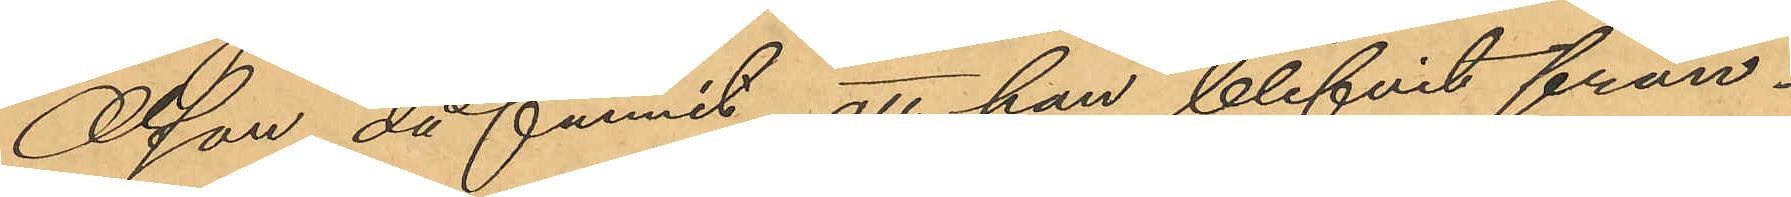Olsson då funnit att han blifvit från¬
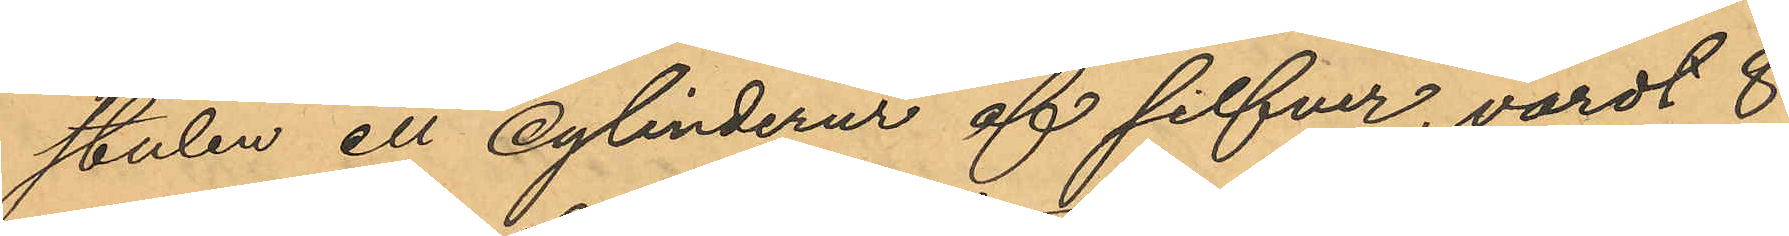stulen ett cylinderur af silfver, värdt 8
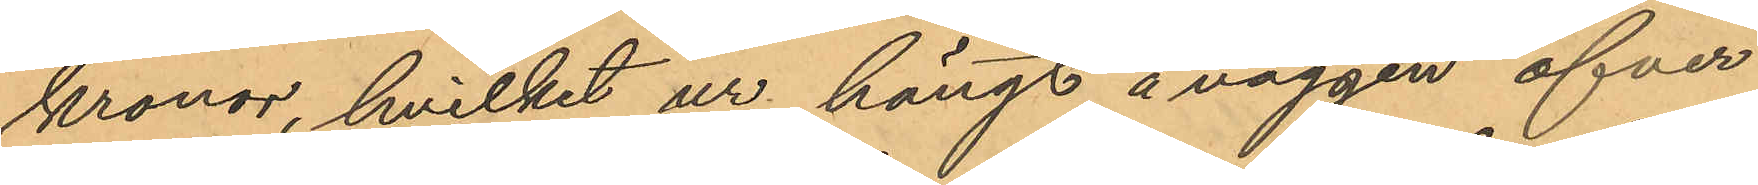kronor, hvilket ur hängt å väggen öfver
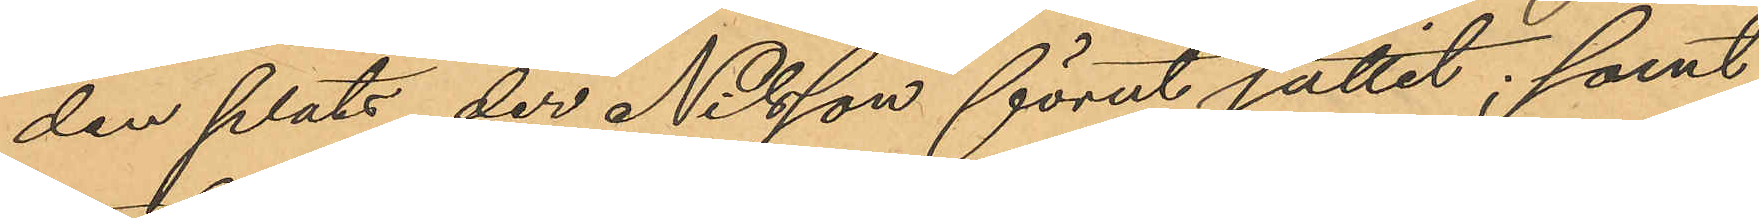den plats, der Nilsson förut suttit; samt
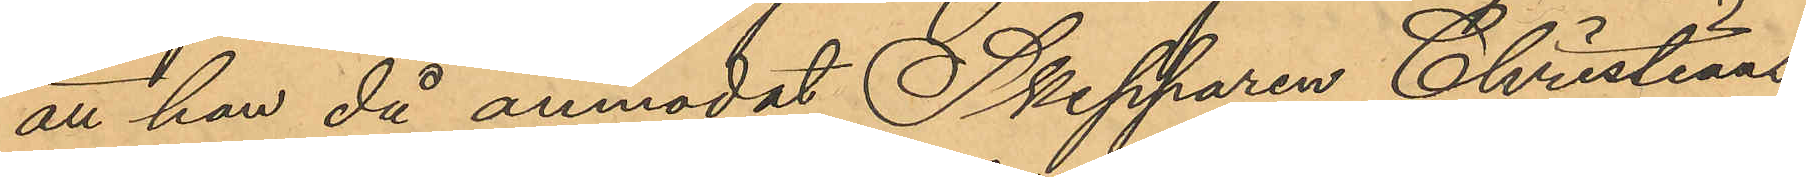att han då anmodat Skepparen Christians¬
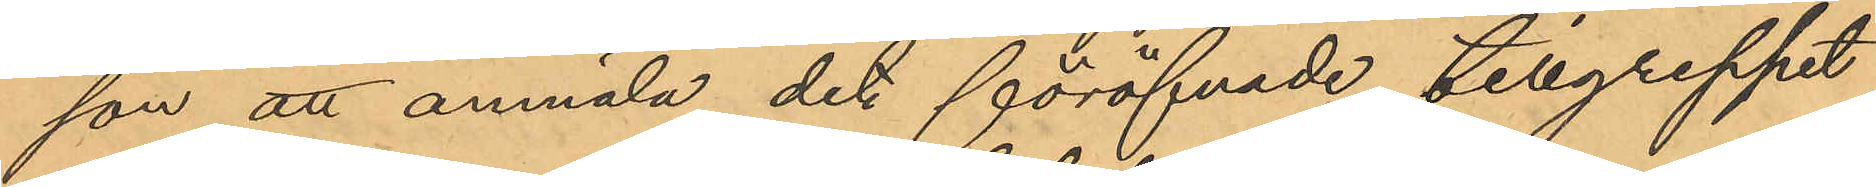son att anmäla det föröfvade tillgreppet
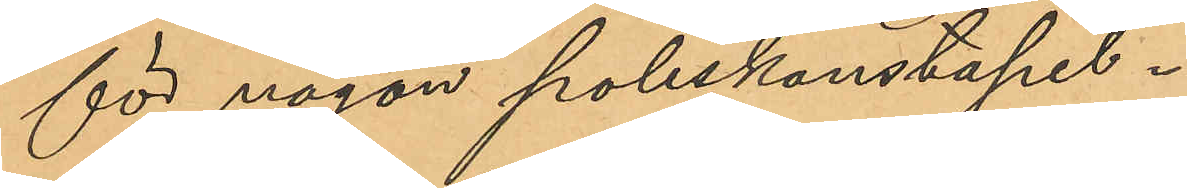för någon poliskonstapel.
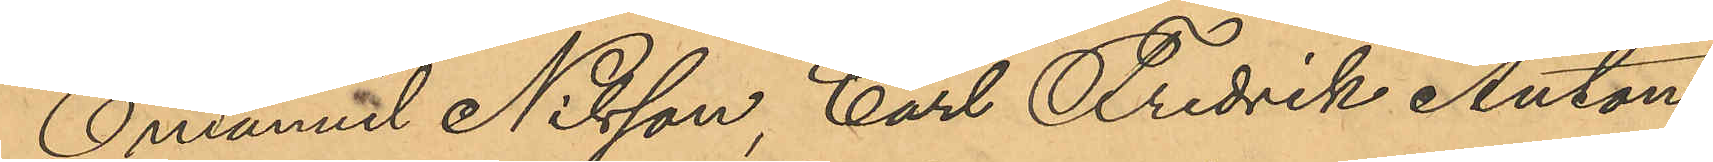Emanuel Nilsson, Carl Fredrik Anton
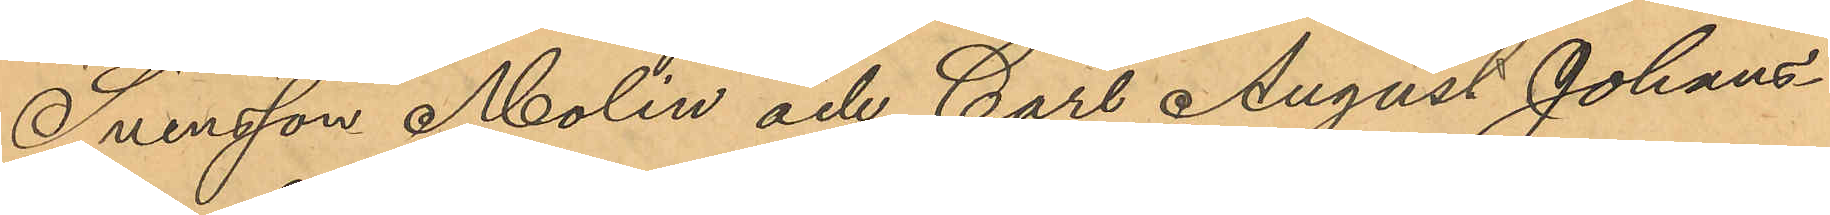Svensson Molin och Carl August Johans¬
